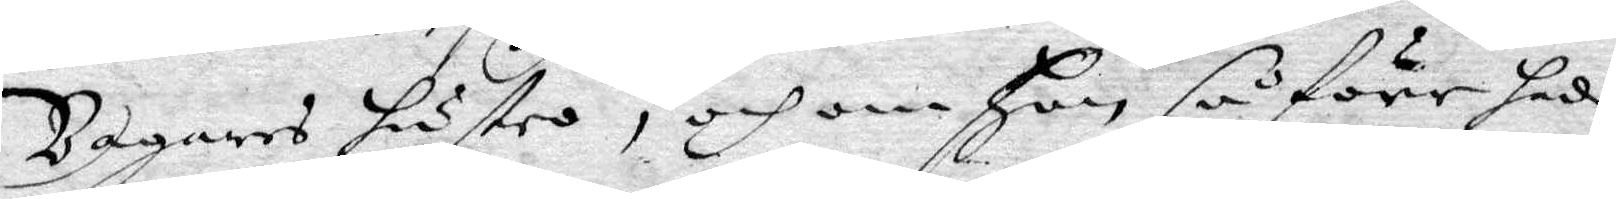Bagares hustro, och om Hon så före hade
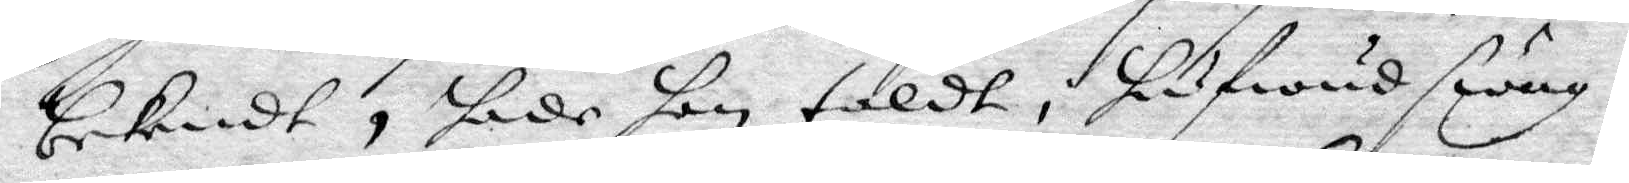bekendt, hade hon taldt, hufwudswag¬
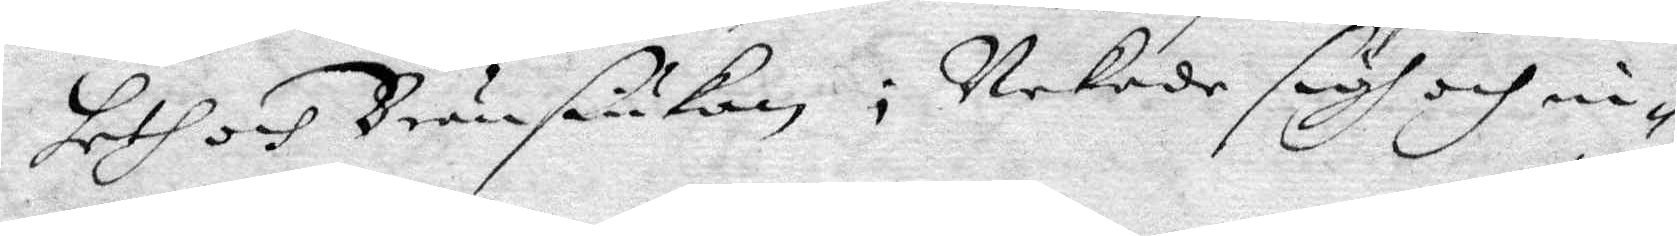heth och Bränsiukan; Nekade sig och in¬
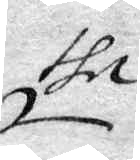the
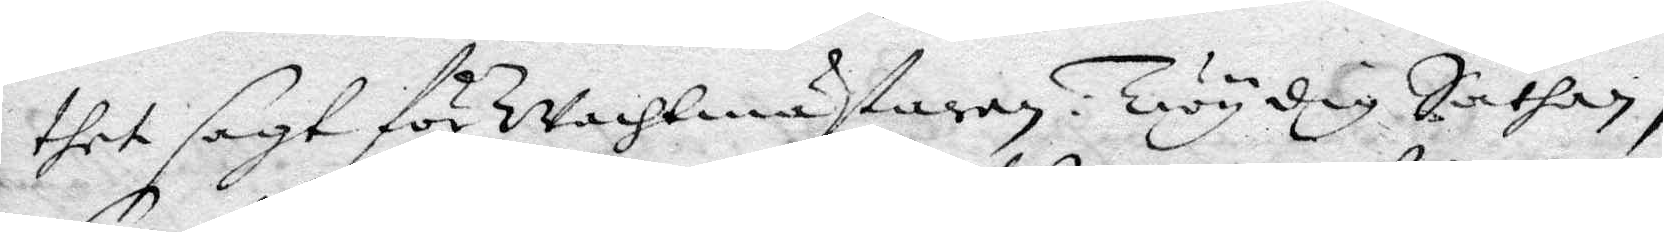thet sagt för Wachtmästaren: Twy dig Sathan,
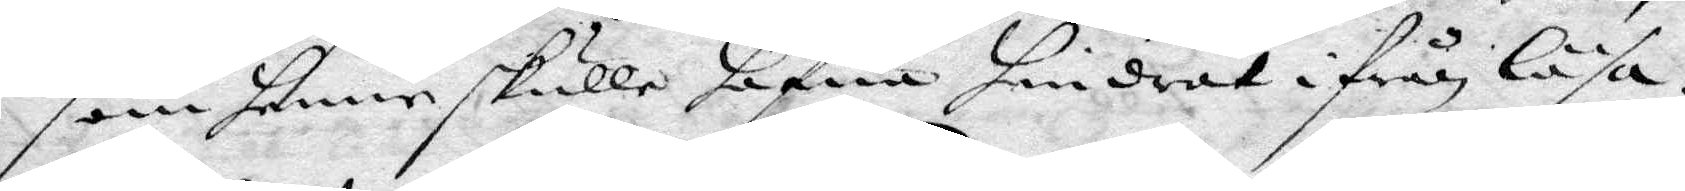som henne skulle hafwa hindrat ifrån läsa.
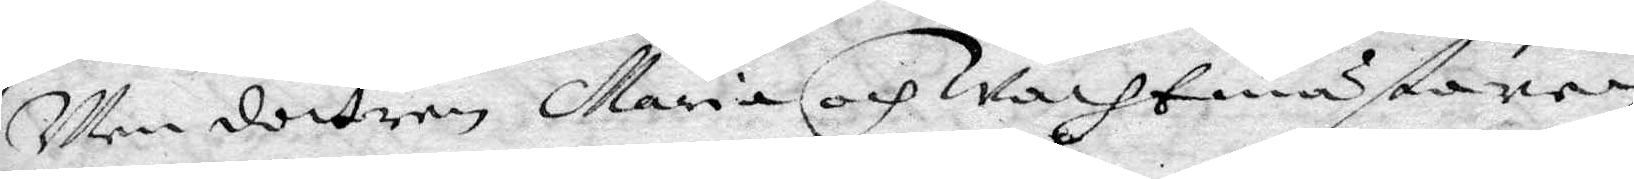Men dottren Maria och Wachtmästaren
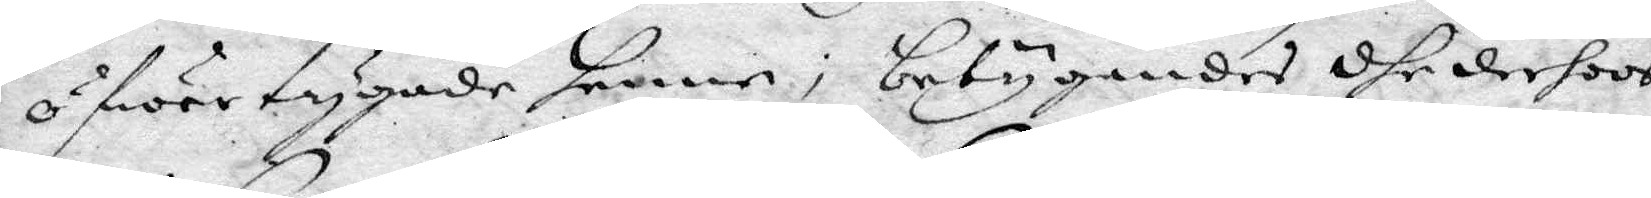öfwertygade henne; betygandes dhe derhoos
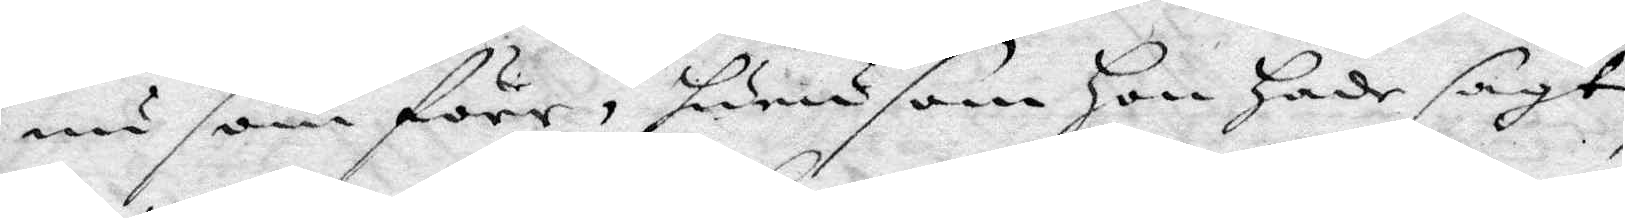nu som förr, hurusom Hon hade sagt,
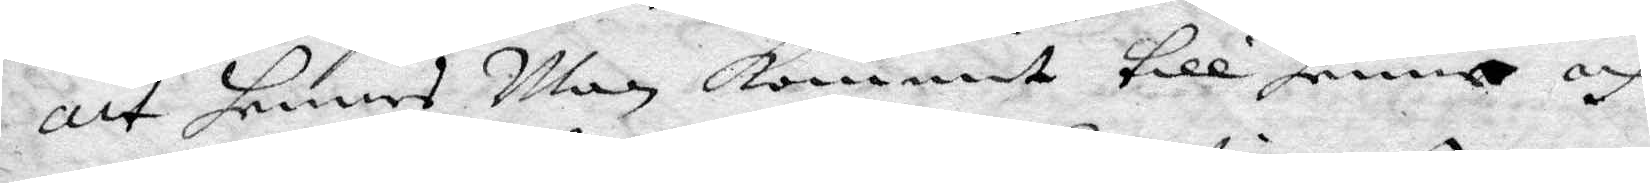att hennes Man kommit till henne och
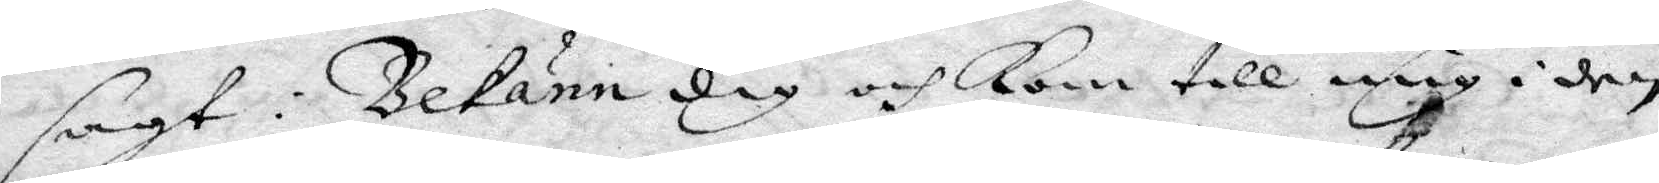sagt: Bekänn dig och kom till mig i den
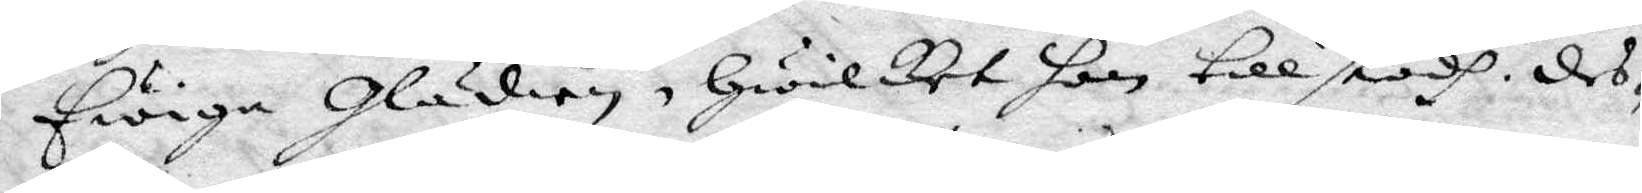Ewiga glädien, Hwilket hon tillstodh des¬
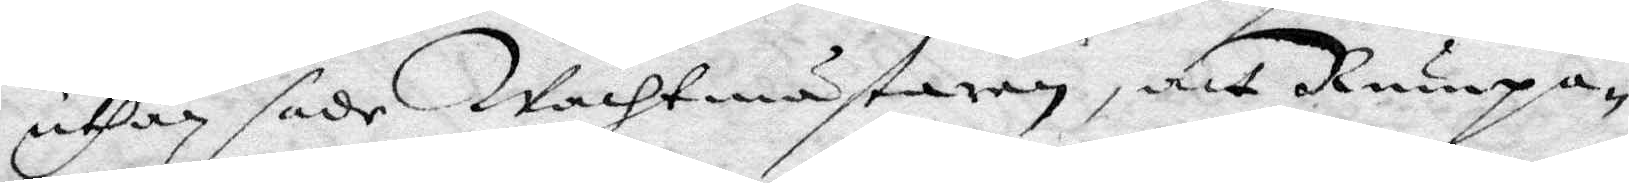uthan sade Wachtmästaren, att Rumpa¬
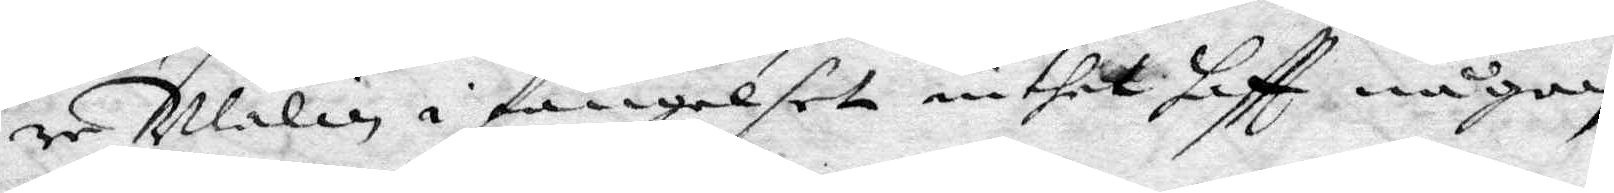re Malin i fängelset intet haftt någon
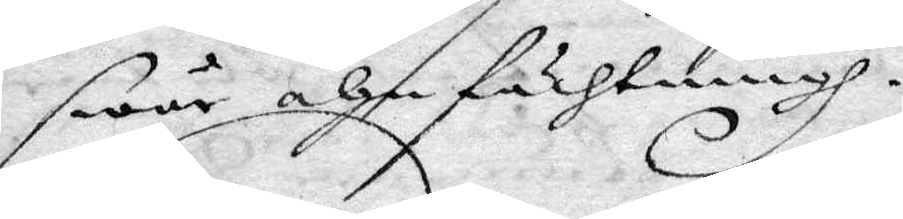swår ahnfächtningh.
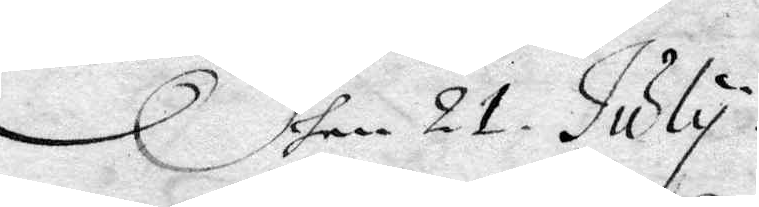Dhen 21 July.
